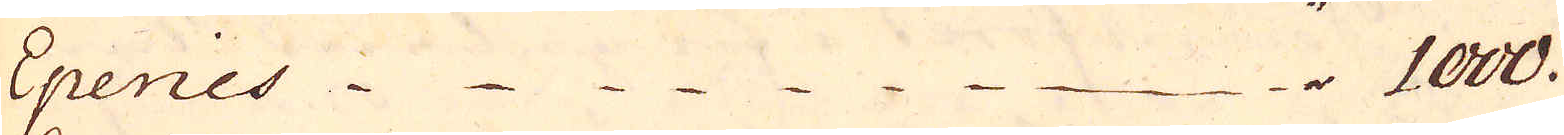Epenies " 1000.
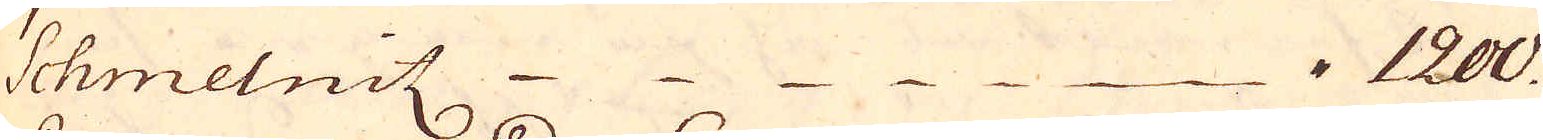Schmelnitz " 1200.
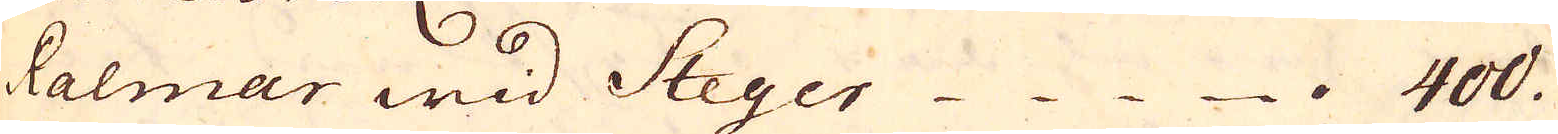Ralmar wid Steger  " 400.
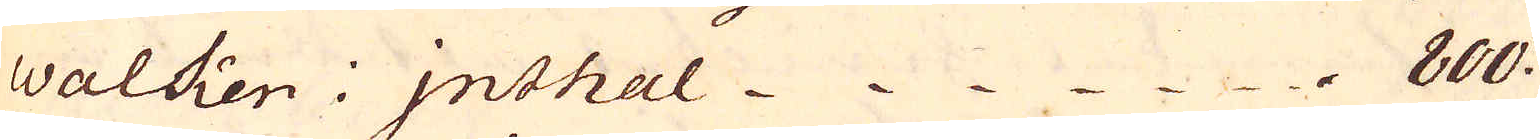Walken i Inthal " 800.
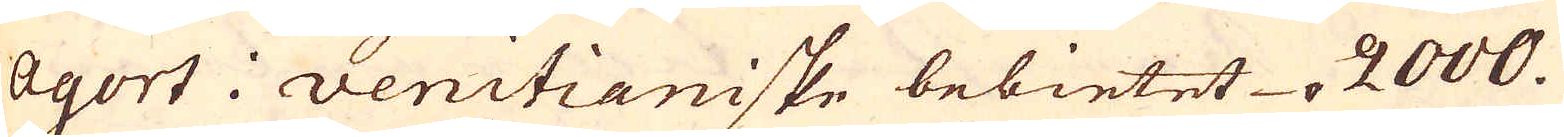Agort i venitianiske bebietet " 2000.
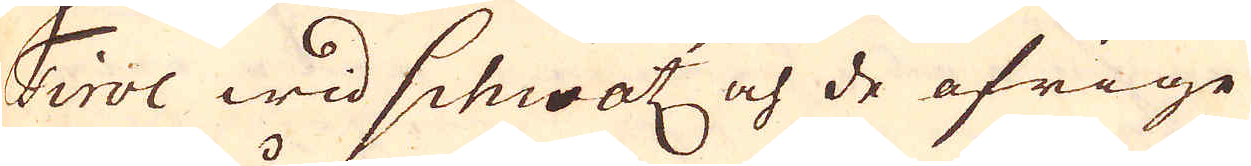Tivol wid Schwatz och de öfrige
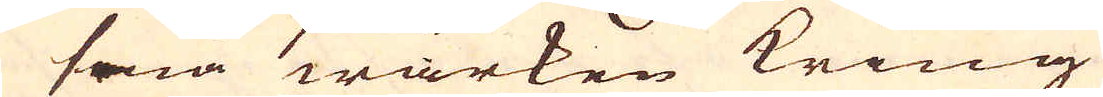friå wärken kring
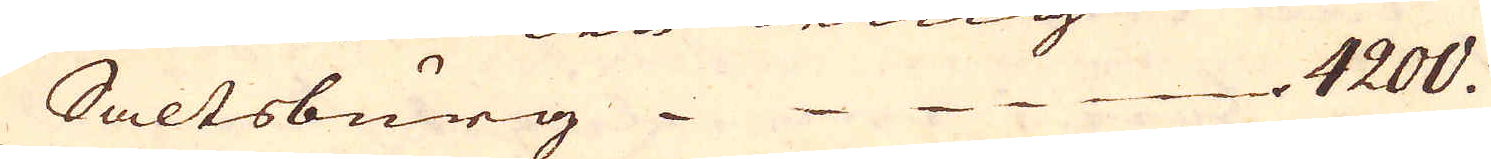Saltsburg " 4200.
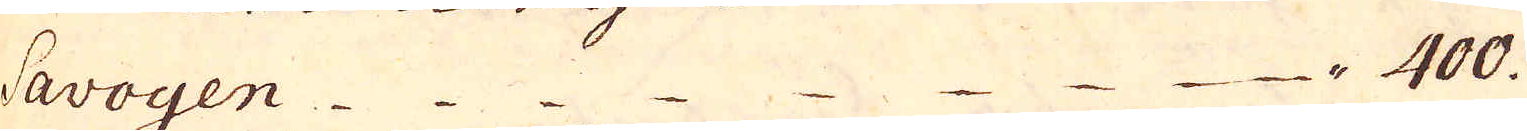Savoyen " 400.
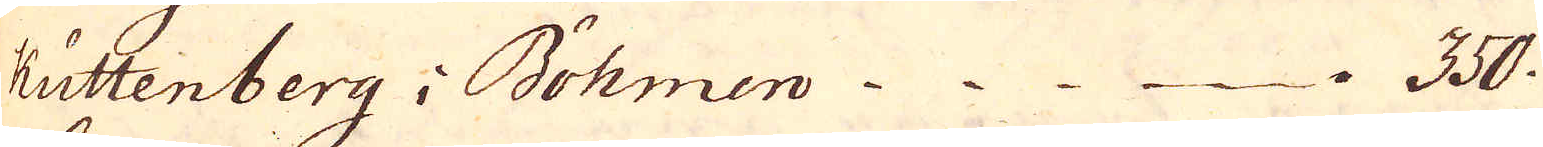Kuttenberg i Böhmen " 350.
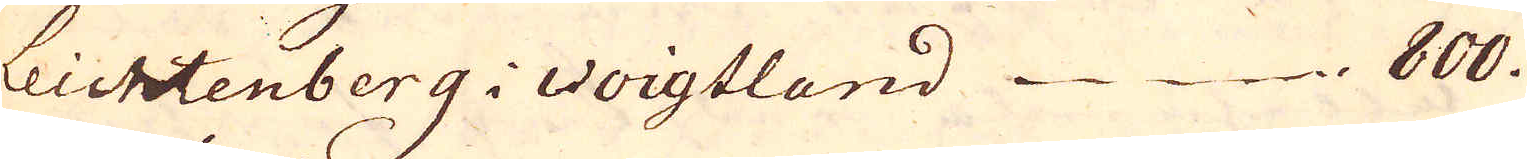Leichtenberg i Voigtland " 800.
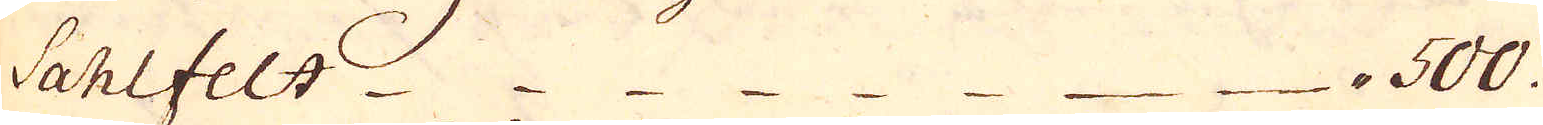Sahlfelt  " 500.
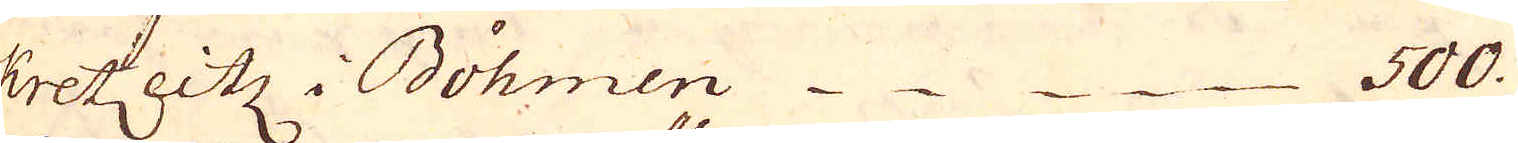Kretzeitz i Böhmen 500.
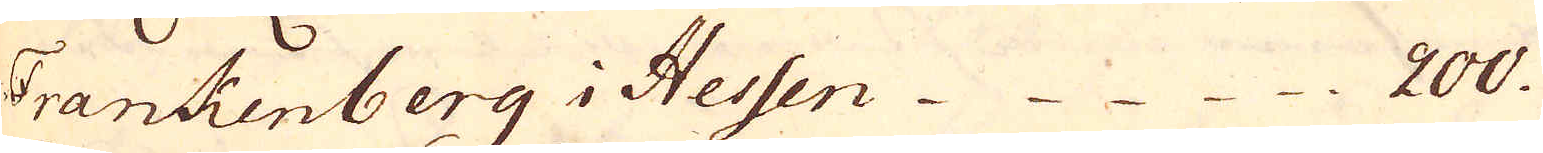Frankenberg i Hessen 200.
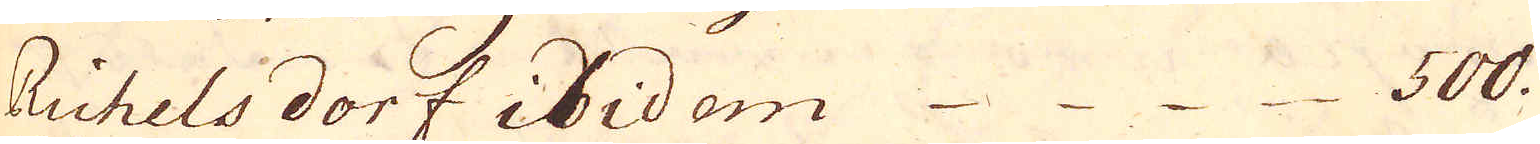Richels dorf ibidem 500.
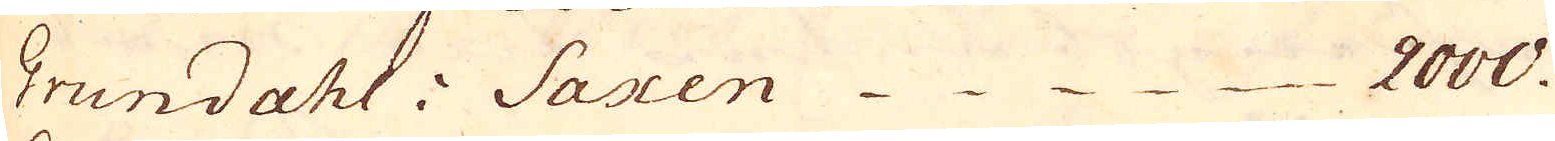Grundahl i Saxen 2000.
